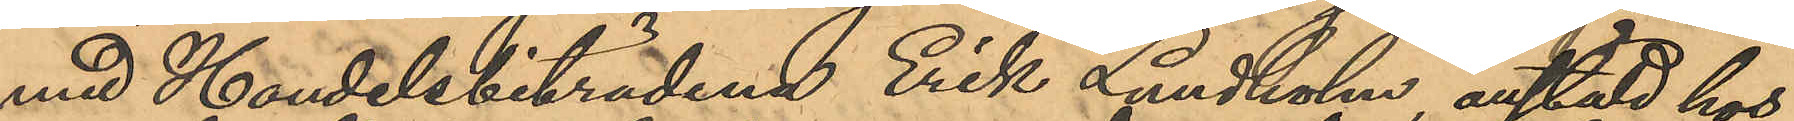med Handelsbiträdena Erik Lundholm, anstäld hos
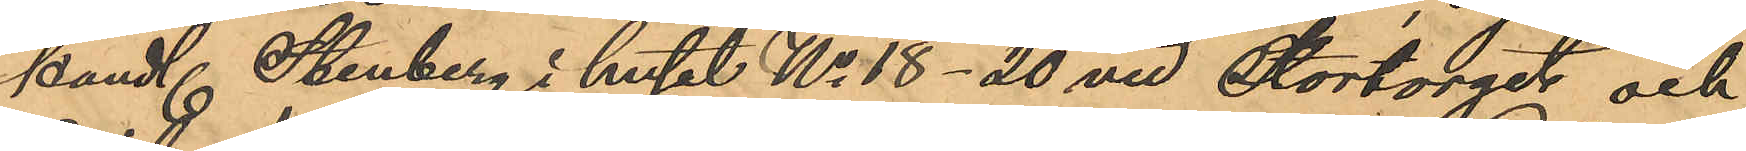handl. Stenberg i huset No 18- 20 vid Stortorget och
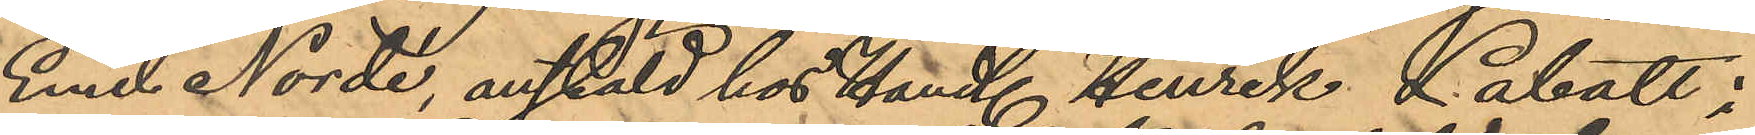Emil Nordé, anstäld hos Handl. Henrik Labatt i 
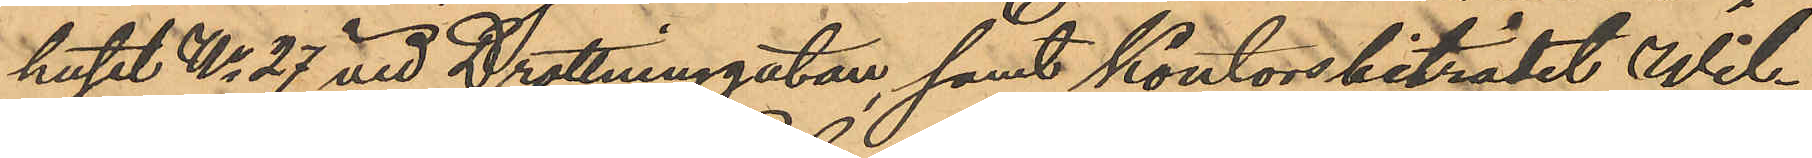huset No 27 vid Drottninggatan, samt kontorsbiträdet Wil¬
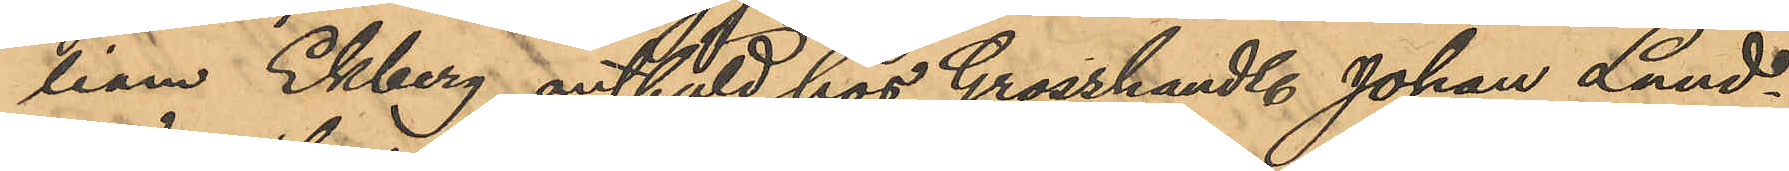liam Ekberg, anstäld hos Grosshandl. Johan Lund¬
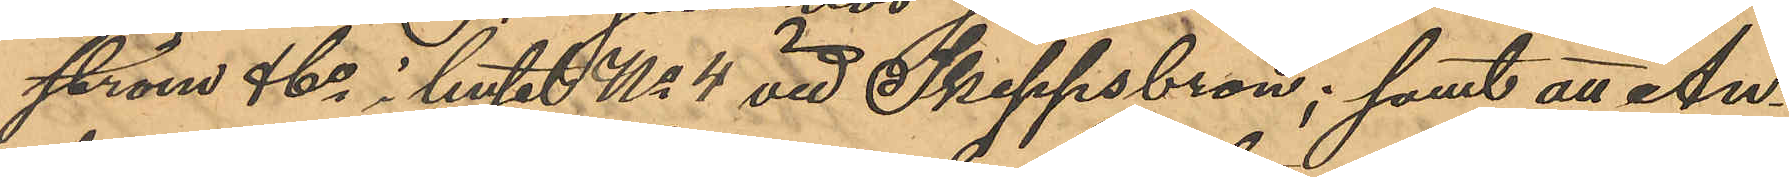ström & Co i huset No 4 vid Skeppsbron; samt att An¬
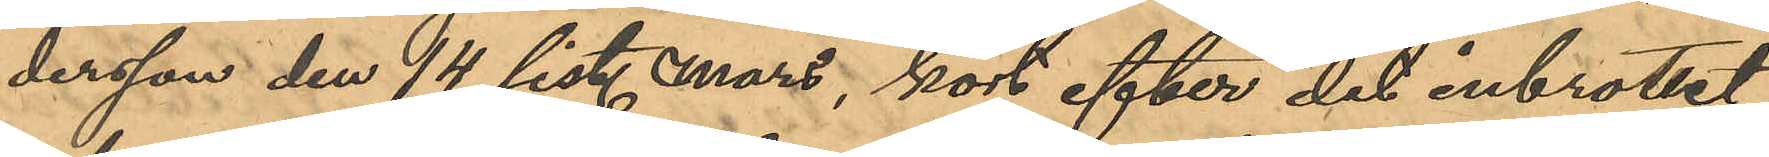dersson den 14 sist. Mars, kort efter det inbrottet
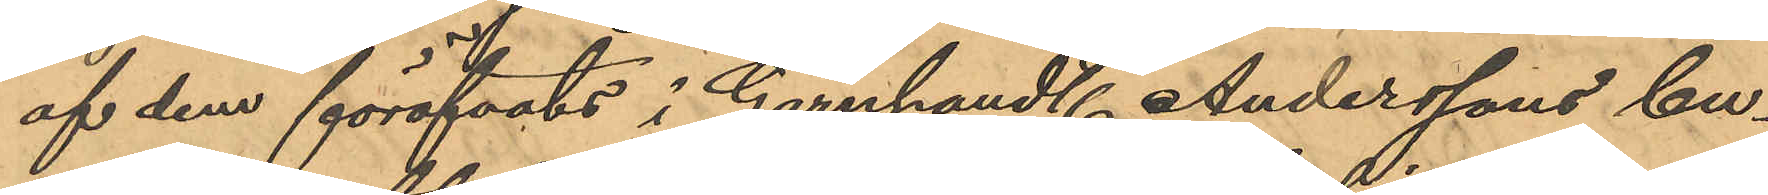af dem föröfvats i Garnhandl. Anderssons bu¬
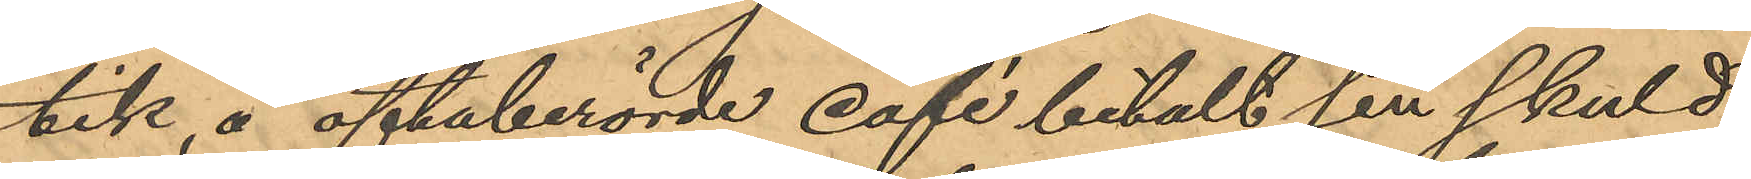tik, å oftaberörde café betalt sin skuld,
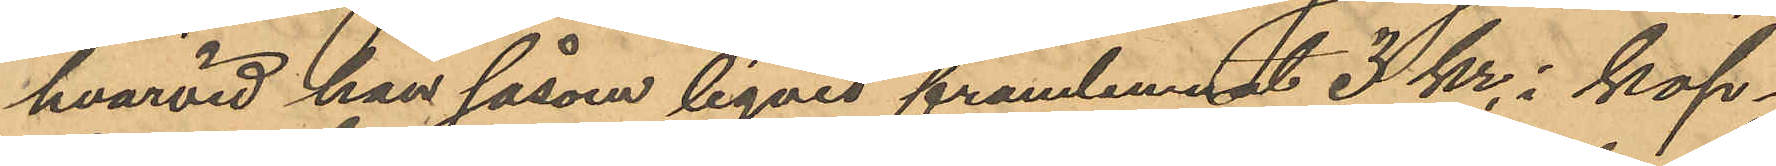hvarvid han såsom liqvid framlemnat 3 kr i kop¬
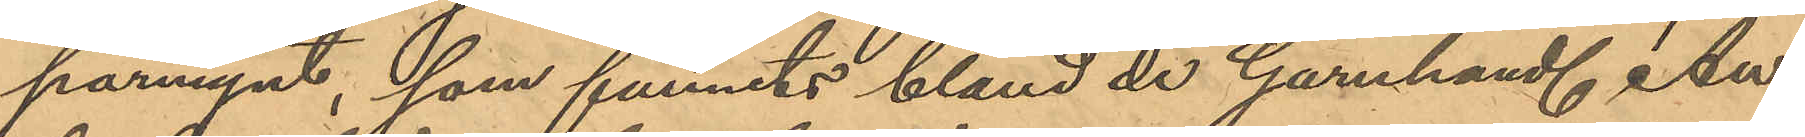parmynt, som funnits bland de Garnhandl. An¬
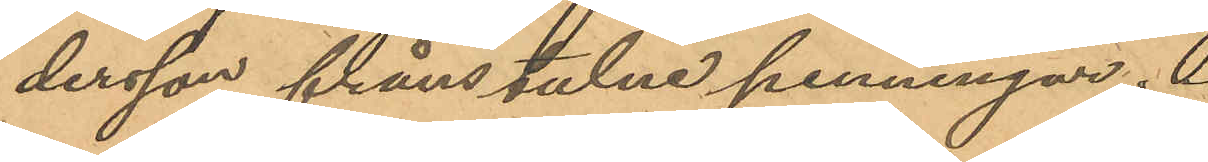dersson frånstulne penningar.
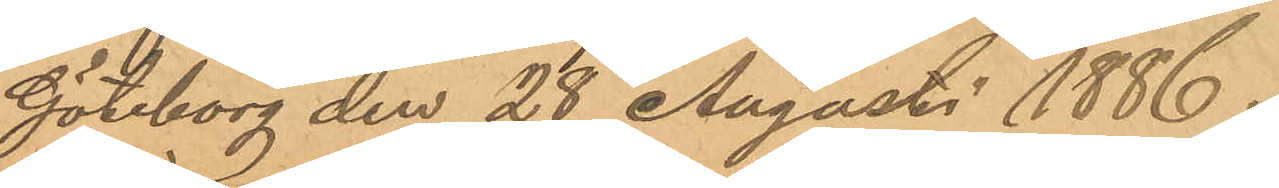Göteborg den 28 Augusti 1886.
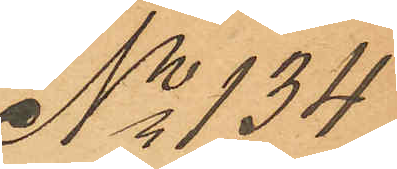No 134
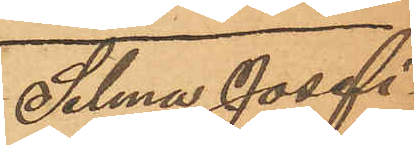Selma Josefi¬
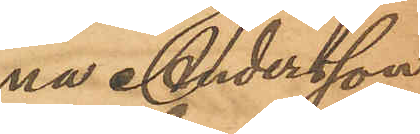na Andersson
